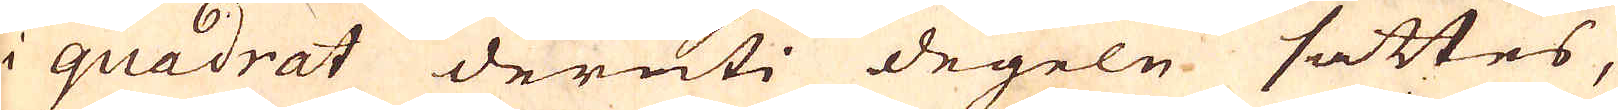i quadrat deruti degeln sättes,
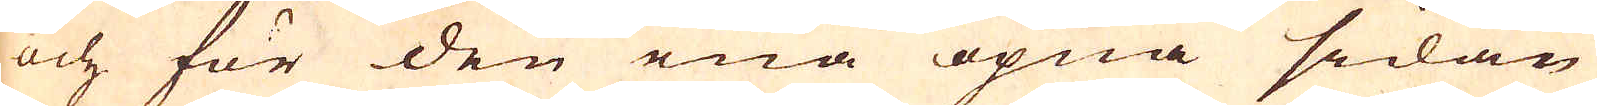och för den ena öpna sidan
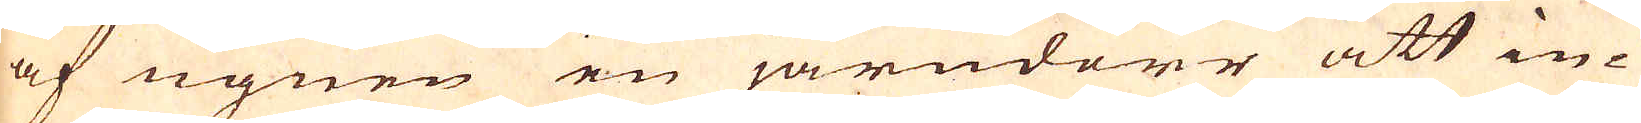af ugnen en järndörr att in-
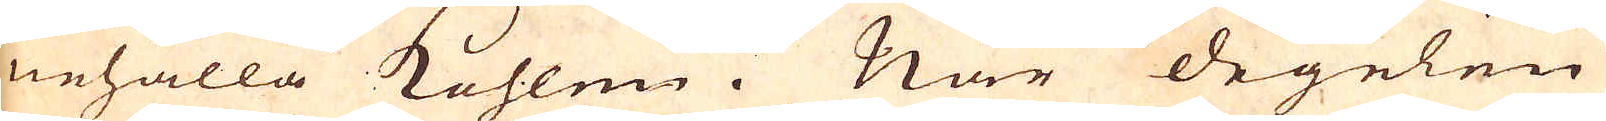nehålla kohlen. När degelen
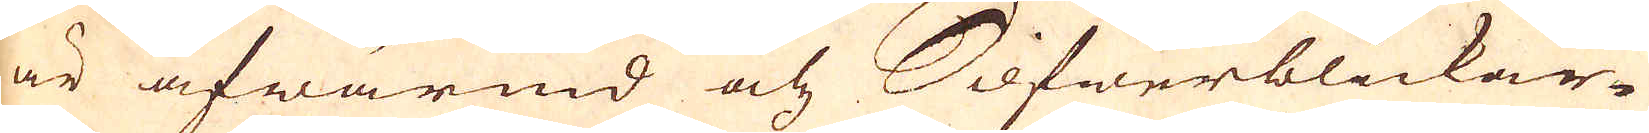är afwärmd och Silfwerblickar-
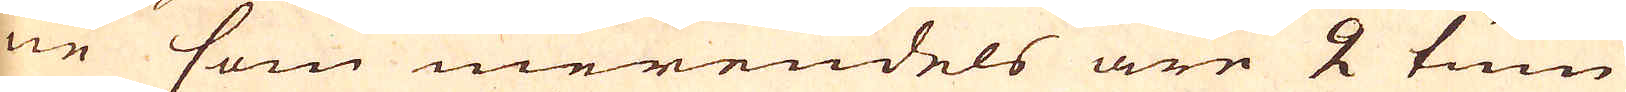ne som merendels äre 2 tum
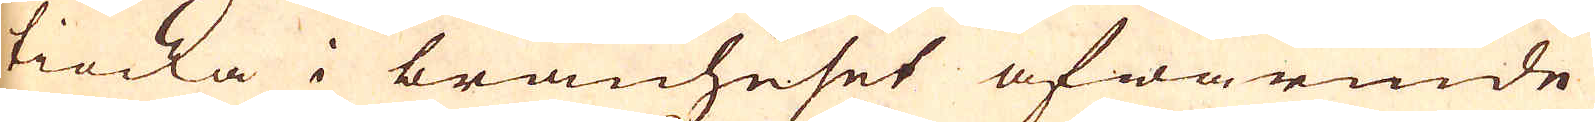tiocka i bränhuset afwärmde
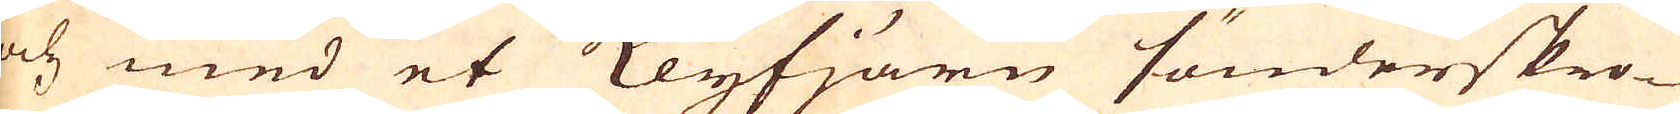och med et Klyfjärn sönderskro-
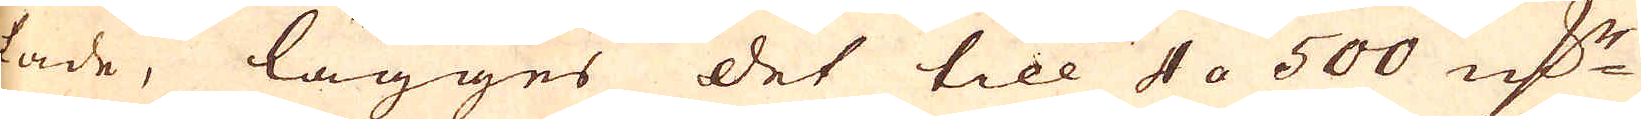tade, lägges det till 4 a 500 marker
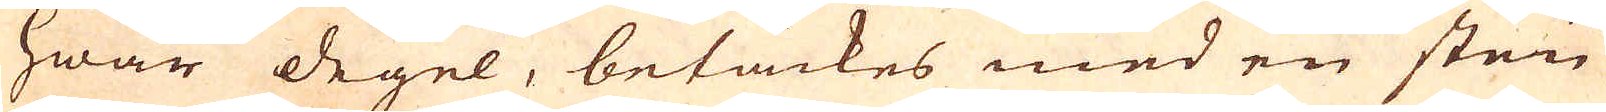i hwar degel, betäckes med en sten
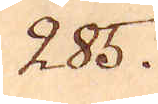285.
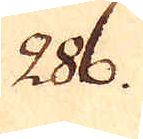286.
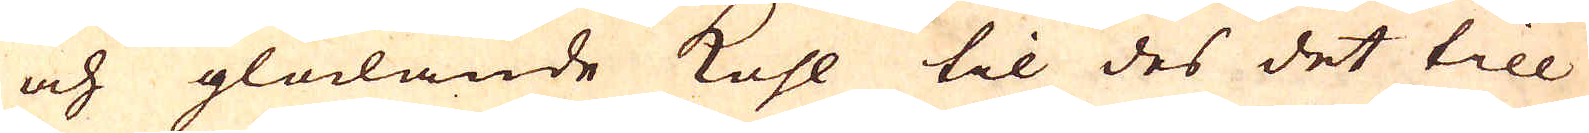och glödande kohl til des det till
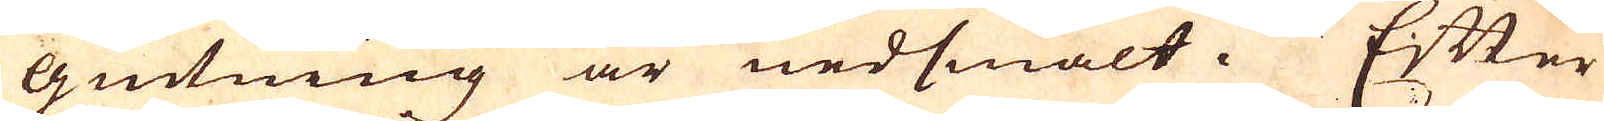giutning är nedsmält. Efter
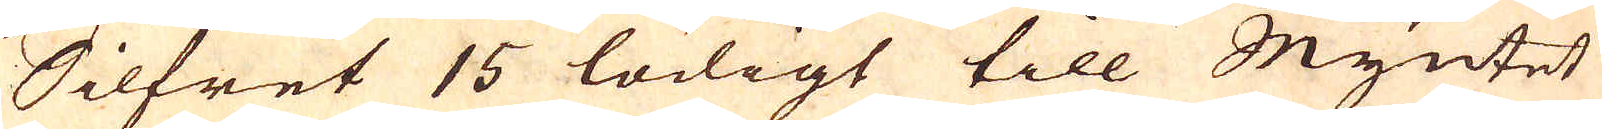Silfret 15 lödigt till Myntet
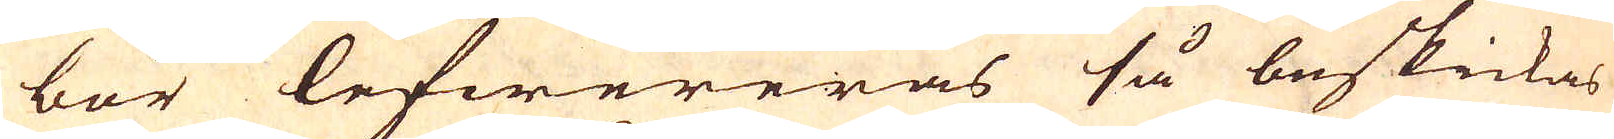bör lefwereras så beskickas
